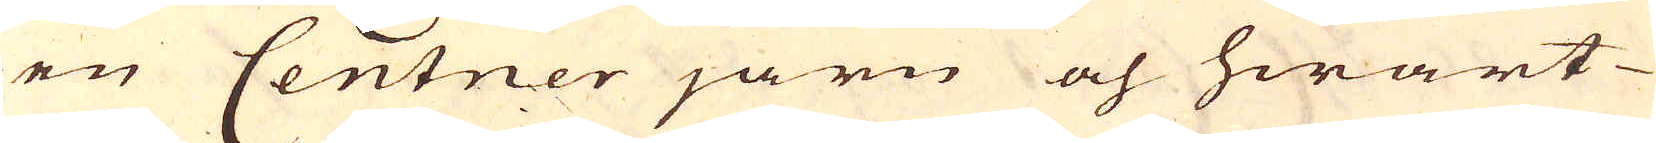en Centner järn och hwart
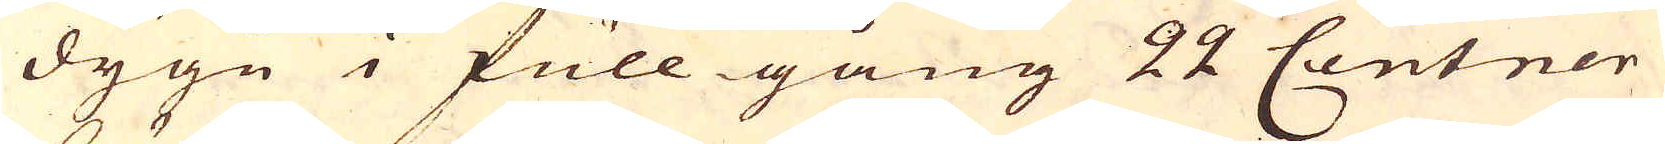dygn i full gång 22 Centner
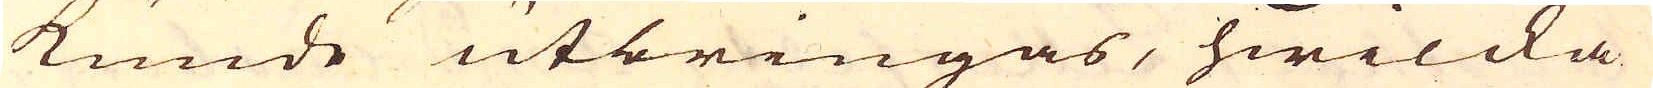kunde utbringas, hwilcka
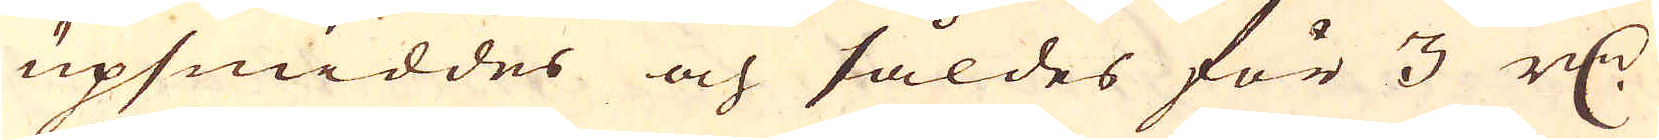upsmiddes och såldes för 3 r:dr
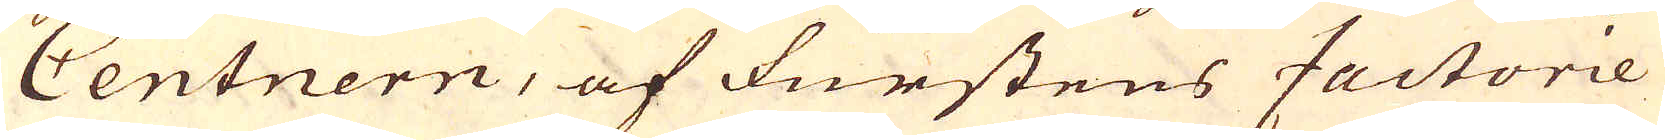Centnern, af Furstens factorie
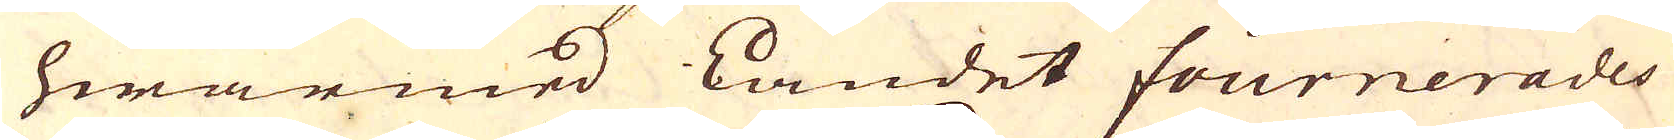hwarmed Landet fournerades
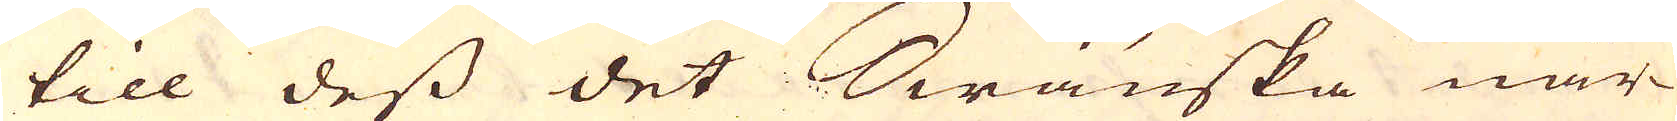till dess det Swänska när-
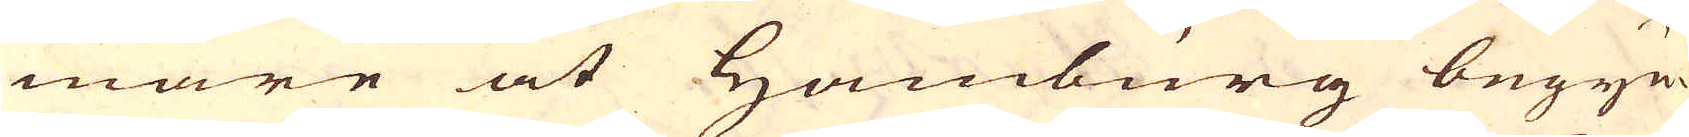mare at Hamburg begyn-
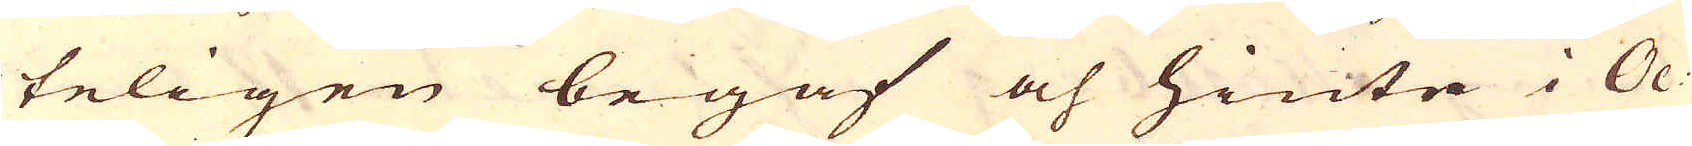teligen begaf och hinte i Oc-
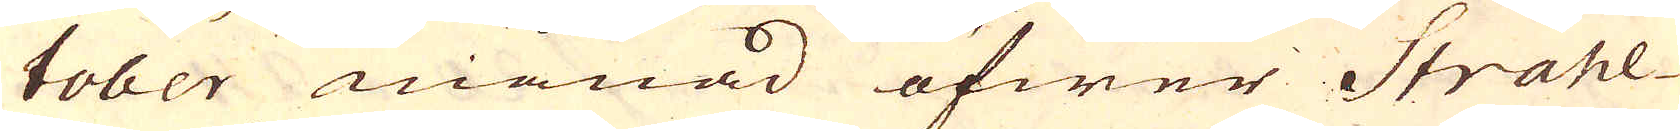tober månad öfwer Strahl-
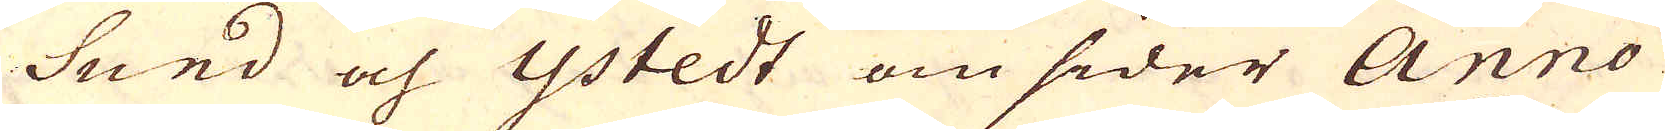Sund och Ystedt om sider Anno
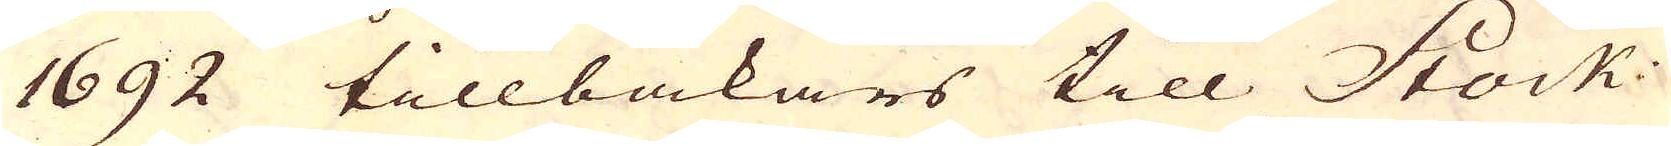1692 tillbakars till Stock-
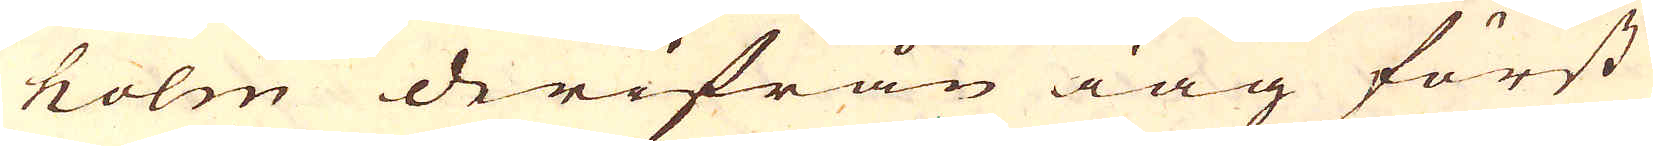holm derifrån iag först
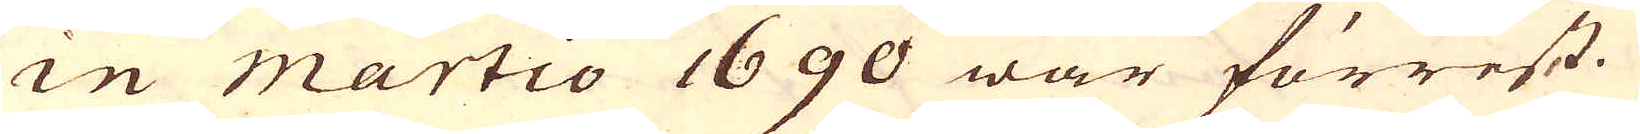in martio 1690 war förrest.
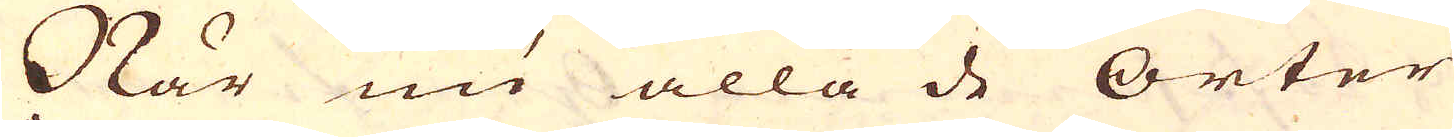När nu alla de orter
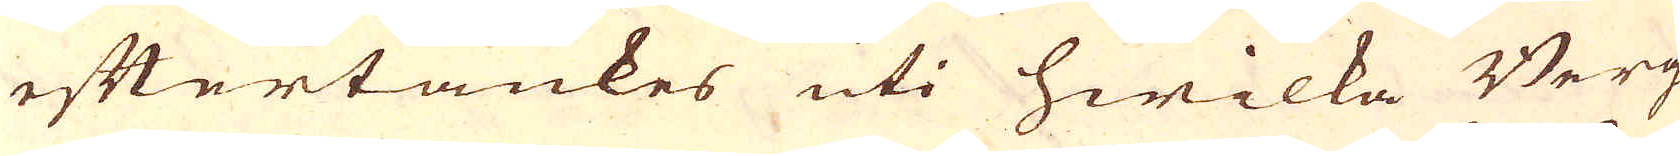eftertänkes uti hwilka Berg
